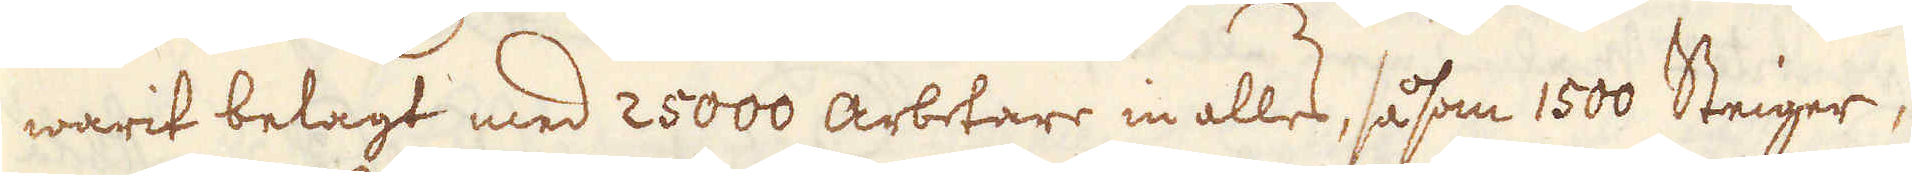warit belagt med 25000 arbetare in alles, såsom 1500 Steiger,
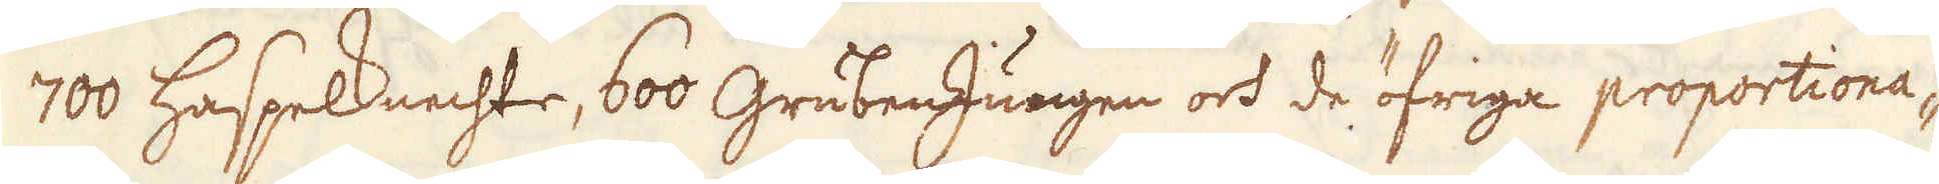700 Haspelknechte, 600 GrubenJungen och de öfriga proportiona-
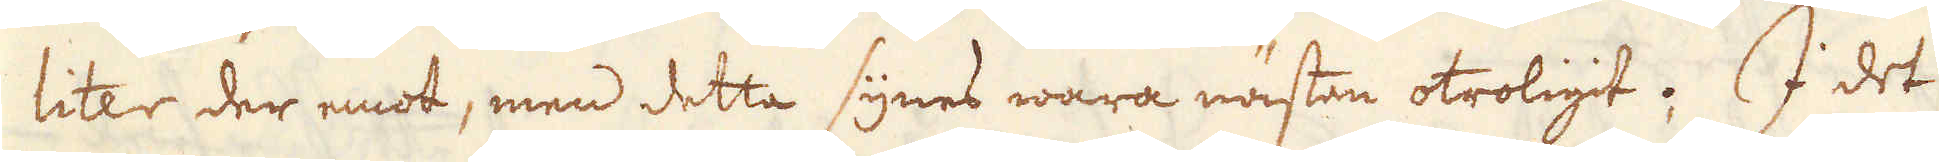liter der emot, men detta synes wara nästan otroligit. I det
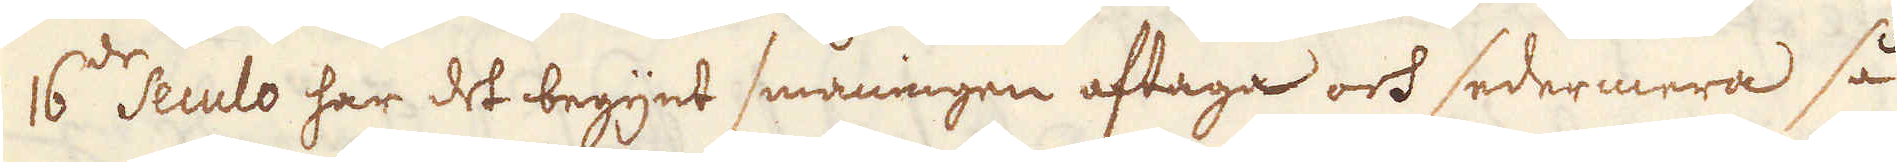16:de Seculo har det begynt småningen aftaga och sedermera så
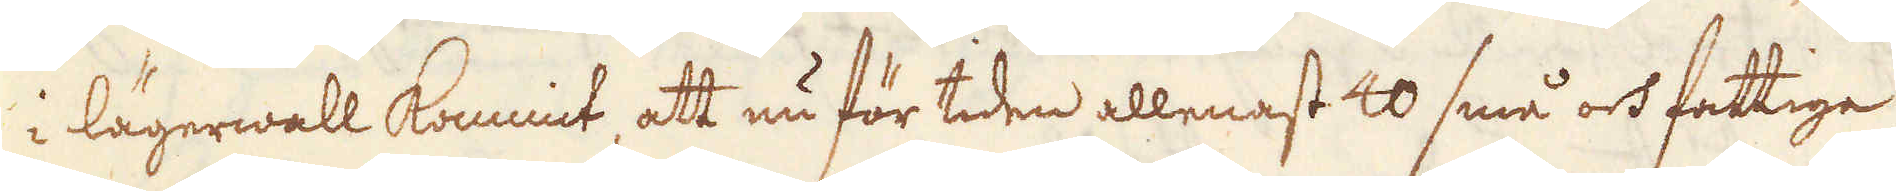i lägerwall kommit, att nu för tiden allenast 40 små och fattiga
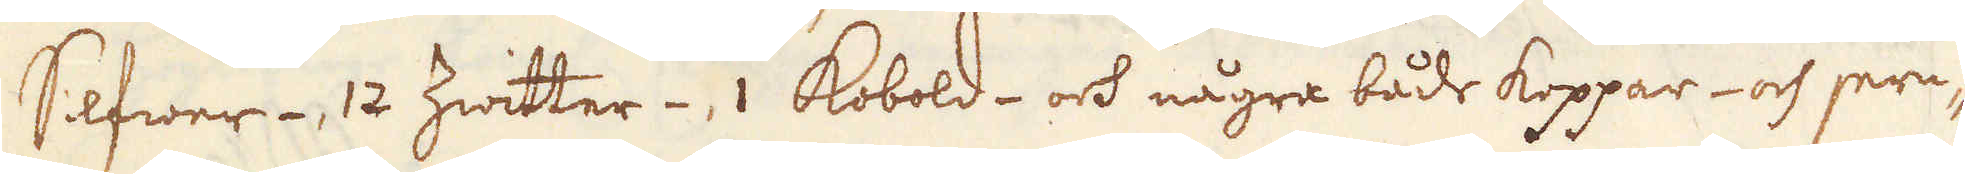Silfwer-, 12 Zwitter- 1 Kobold- och några både koppar- och jern-
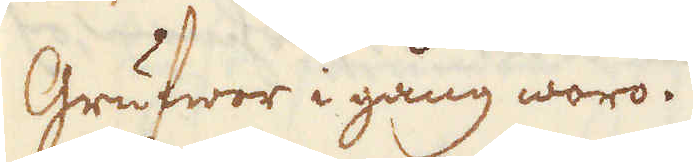Grufwor i gång woro.
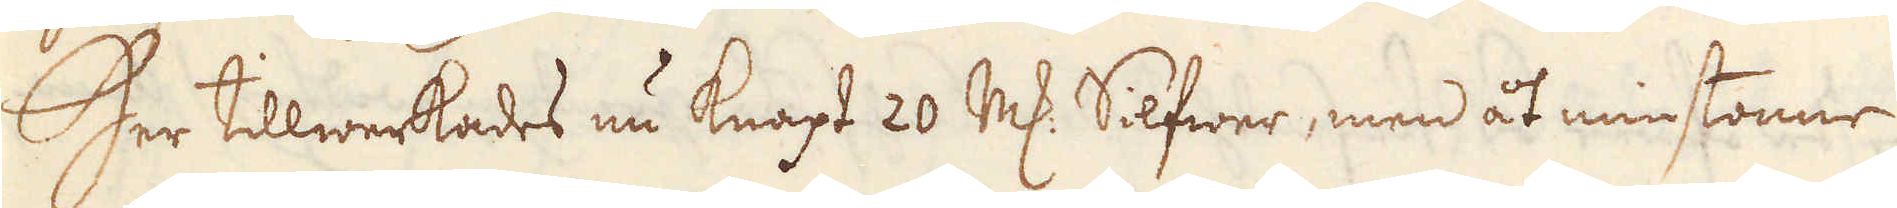Her tillwerkades nu knapt 20 marker Silfwer, men åt minstonne
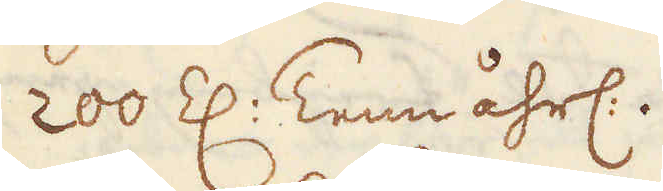200 Z: Tenn åhrl:.
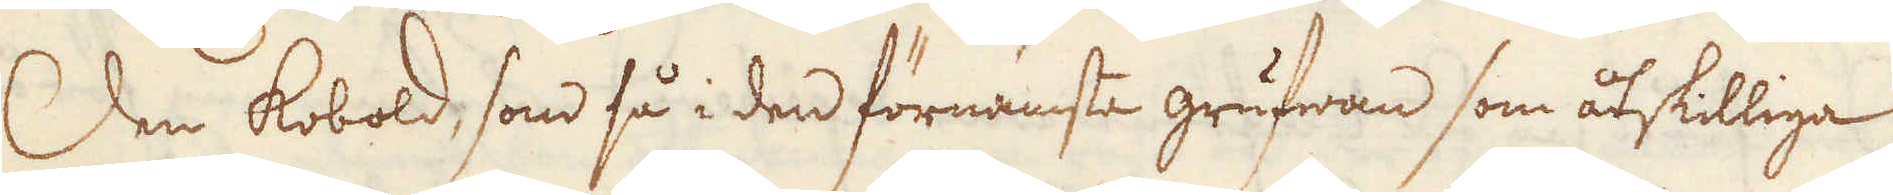Den Kobold, som så i den förnämsta grufwan som åtskilliga
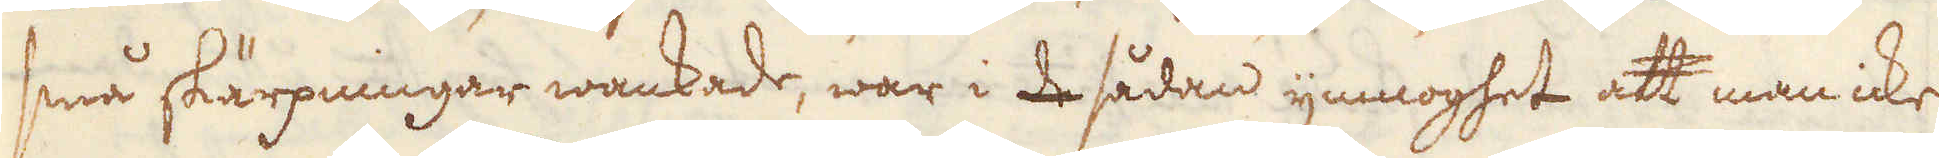små skärpningar wankade, war i de sådan ymnoghet att man icke
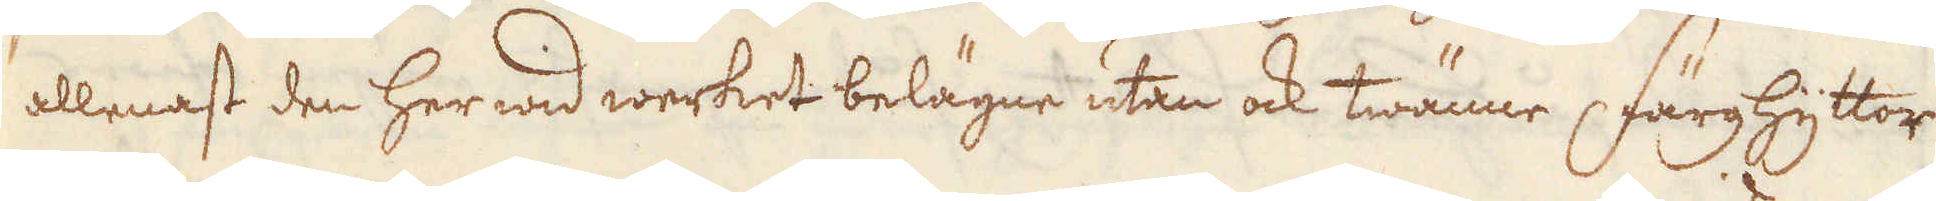allenast den her wid werket belägne utan ock twänne Färghyttor
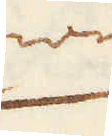wid
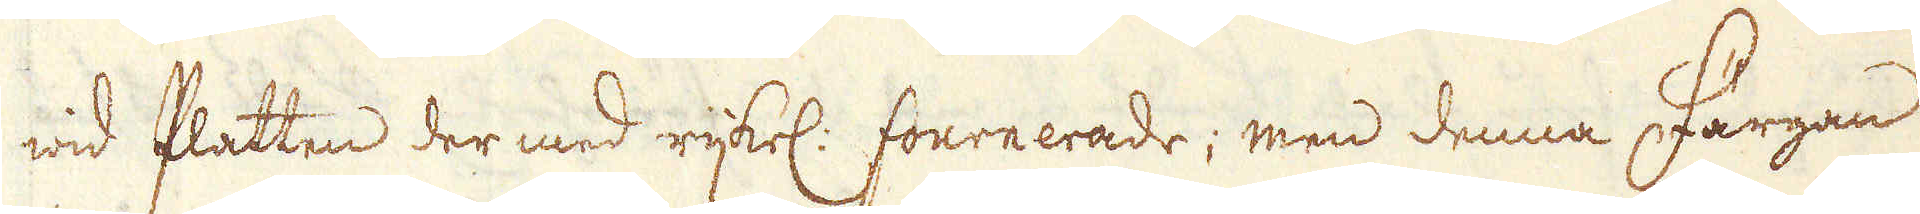wid Platten der med rijkel: fournerade; men denna Färgan
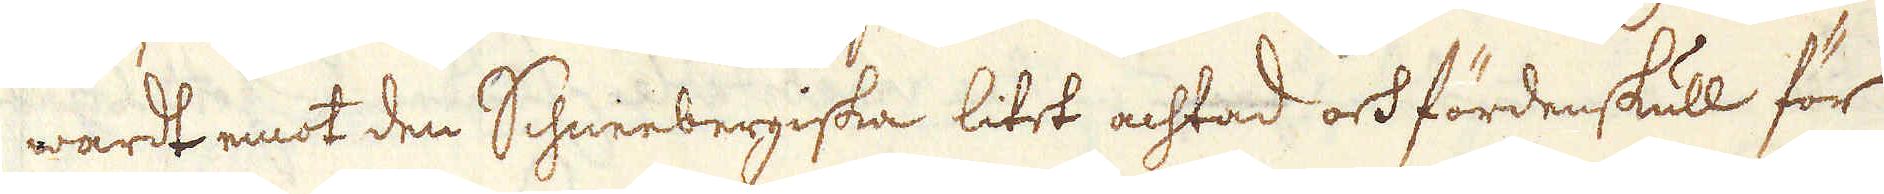wardt emot den Schneebergiska litet achtad och fördenskull för
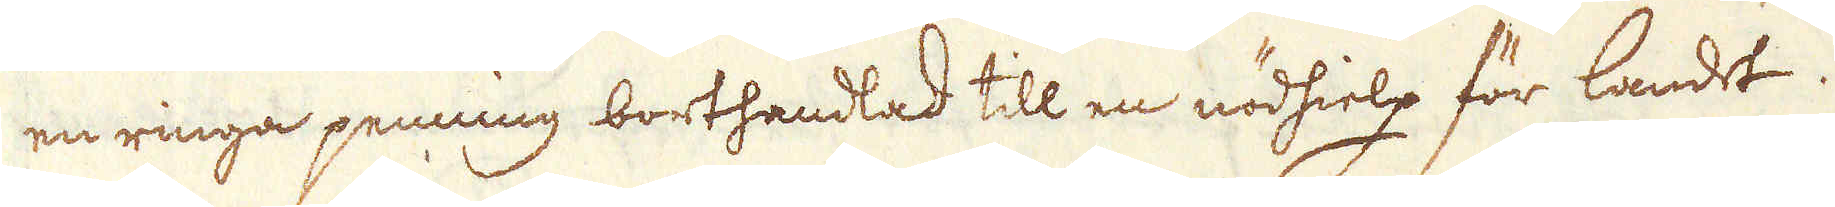en ringa penning borthandlad till en nödhielp för landet.
